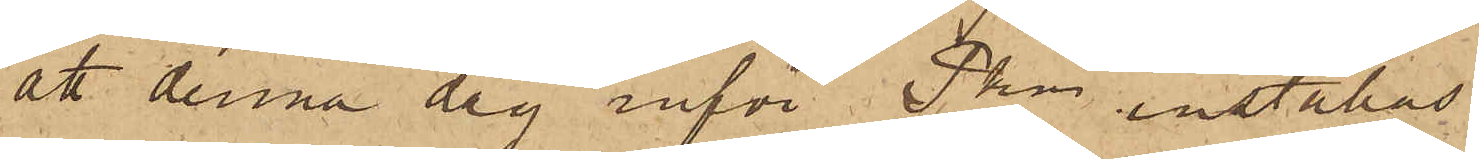att denna dag inför Pkn inställas.
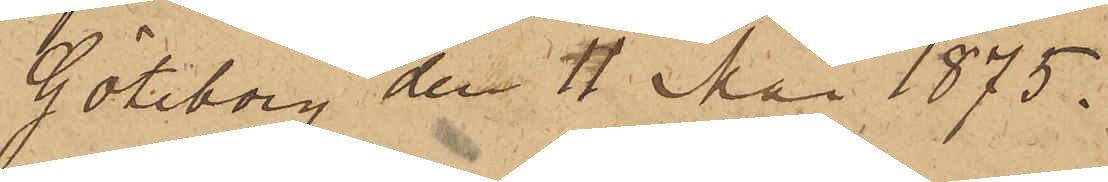Göteborg den 11 Mai 1875.
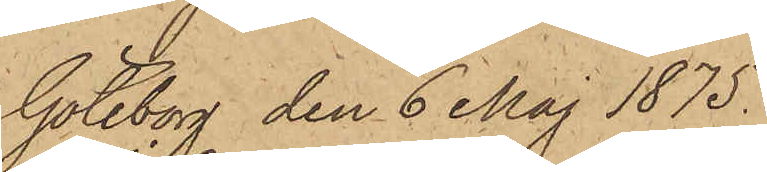"Göteborg den 6 Maj 1875.
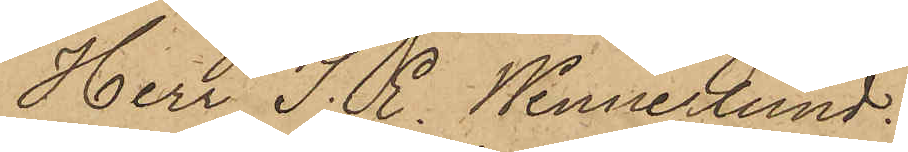Herr J. E. Wennerlund
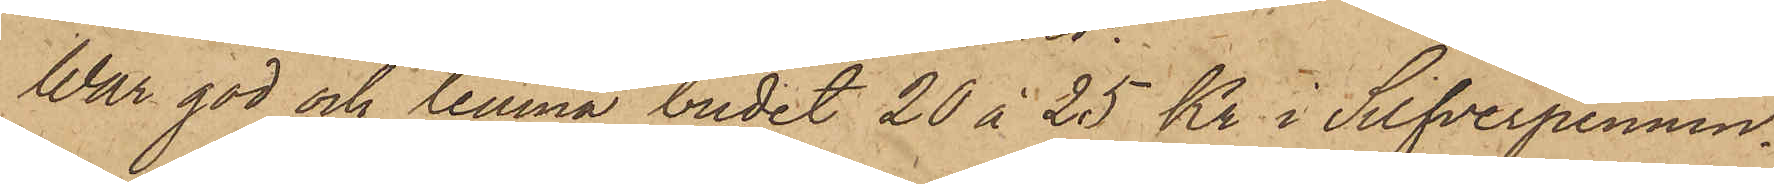War god och lemna budet 20 à 25 kr i Silfverpennin¬
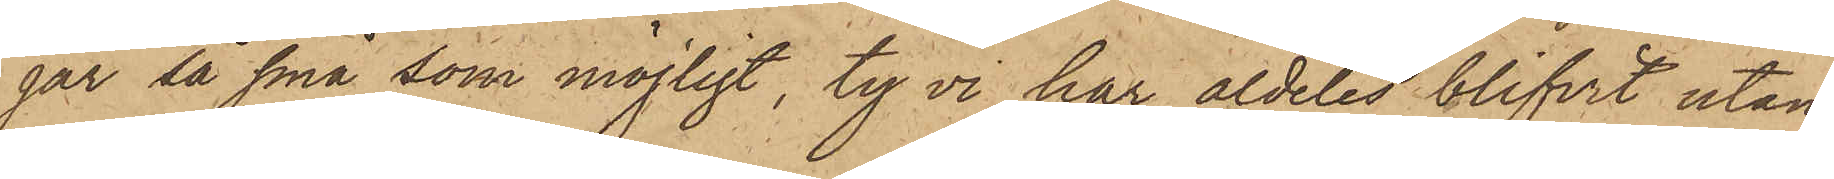gar så små som möjligt, ty vi har aldeles blifvit utan
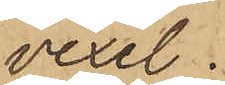vexel.
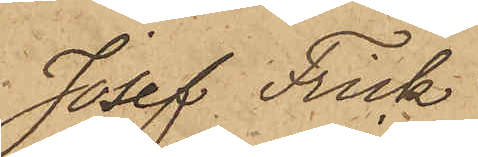Josef Frick
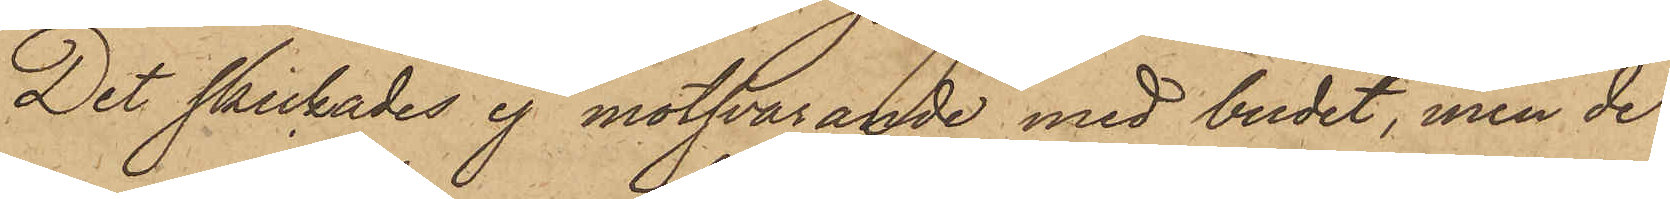Det skickades ej motsvarande med budet, men de
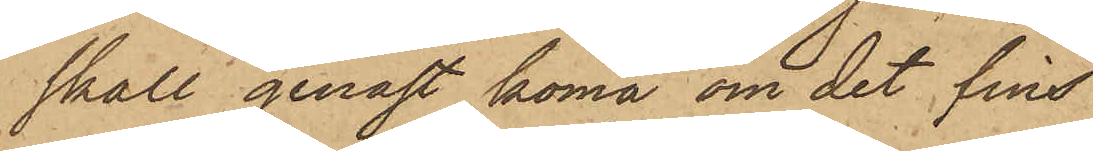skall genast koma om det fins
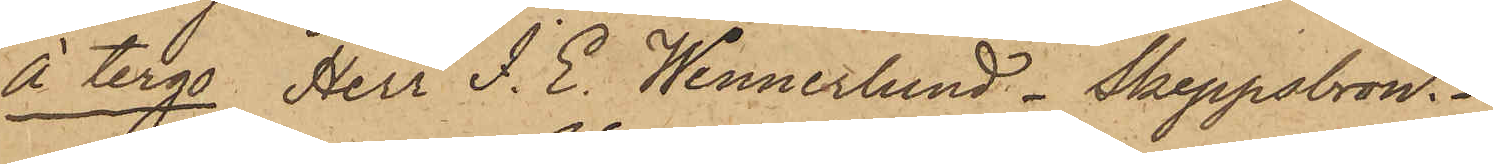À tergo Herr J. E. Wennerlund - Skeppsbron."
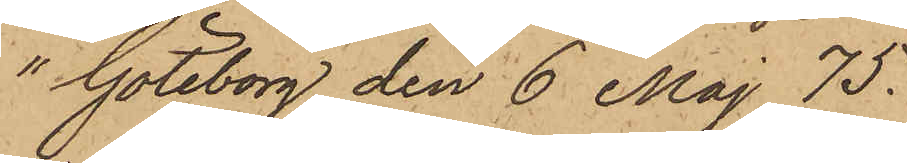"Göteborg den 6 Maj 75.
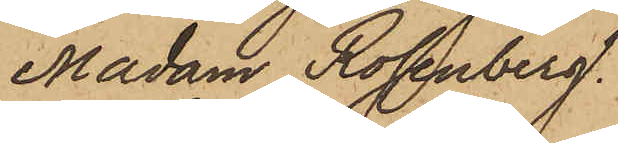Madam Rosenberg.
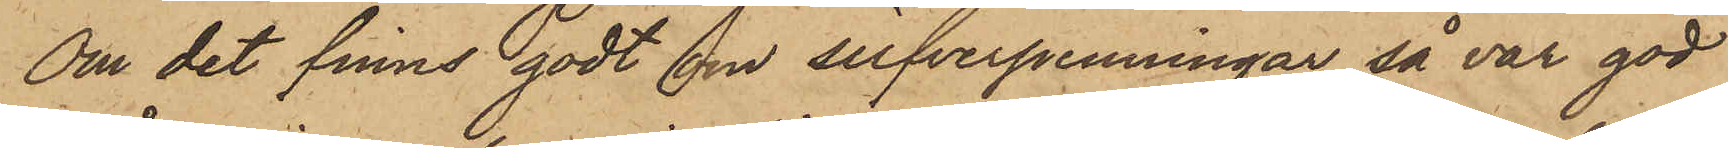Om det finns godt om silfverpenningar så var god
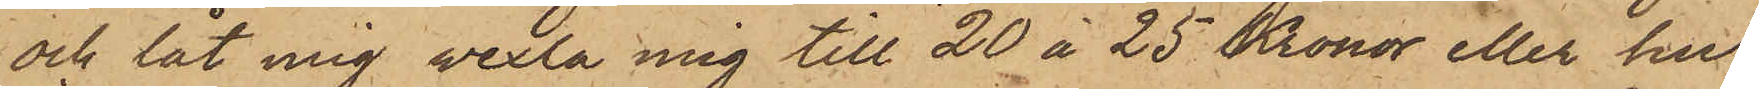och låt mig vexla mig till 20 à 25 Kronor eller hur
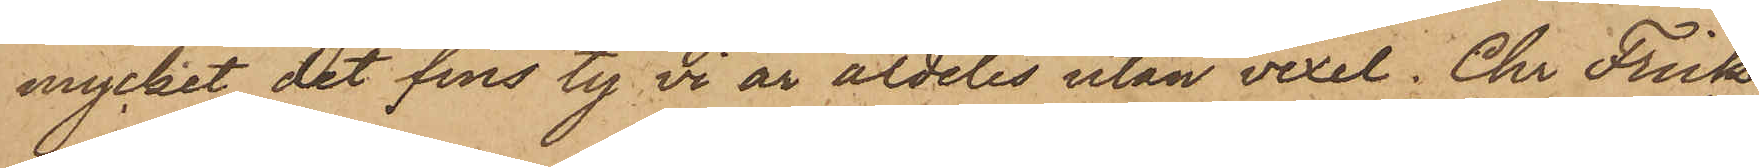mycket det fins ty vi är aldeles utan vexel. Chr Frick
